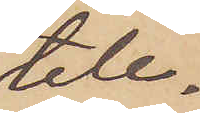tele¬
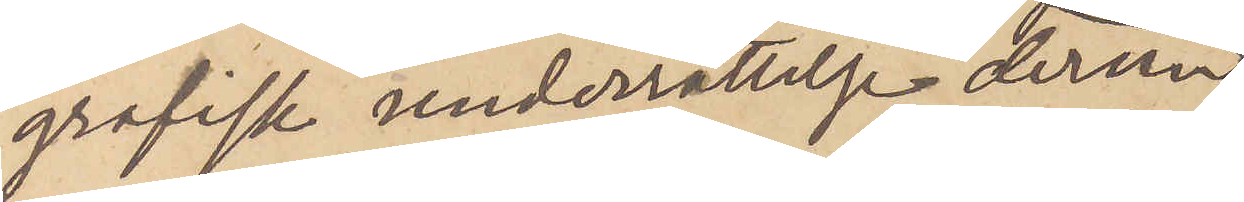grafisk underrättelse derom
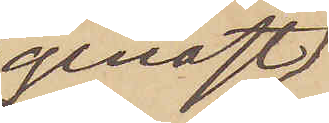genast
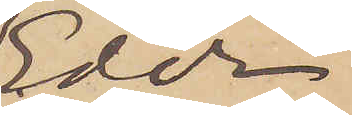Eder
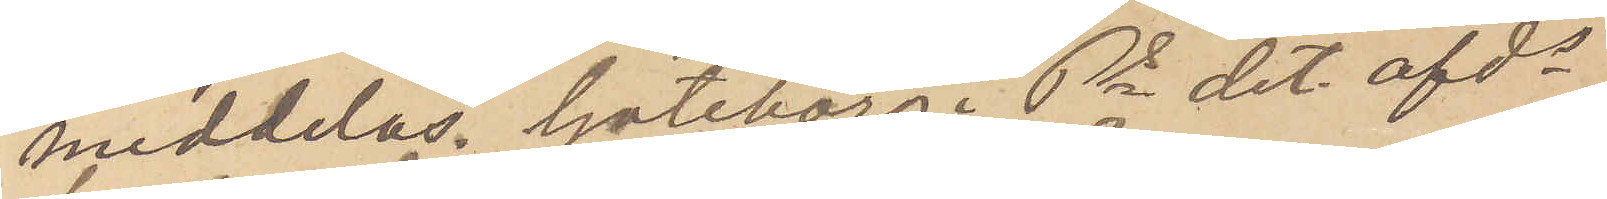meddelas. Göteborg i Ps det. afds
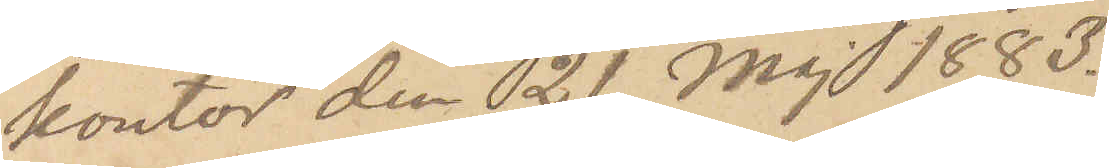kontor den 21 Maj 1883.
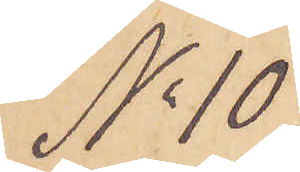No 10
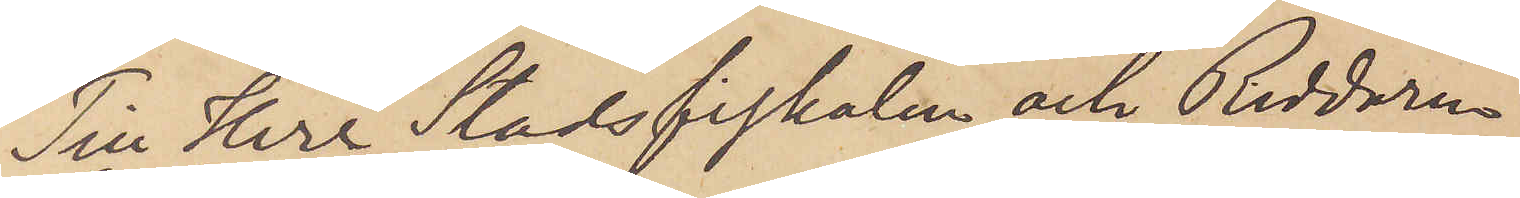Till Herr Stadsfiskalen och Riddaren
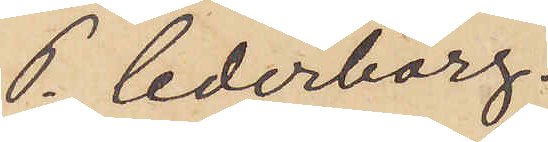P. Cederborg.
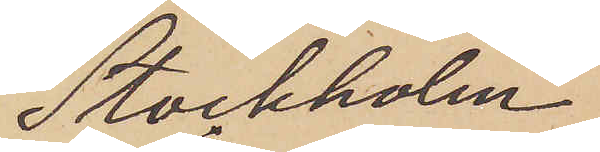Stockholm.
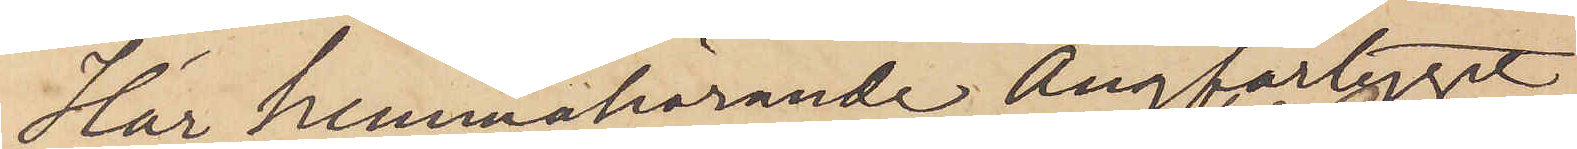Här hemmahörande Ångfartyget
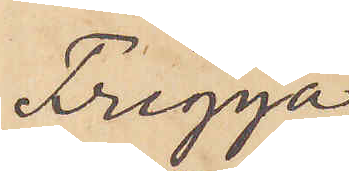Frigga
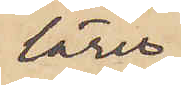lärer
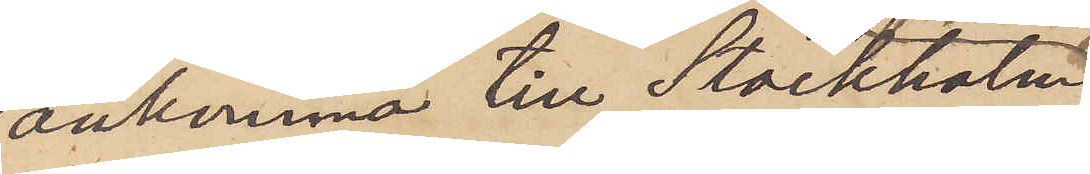ankomma till Stockholm
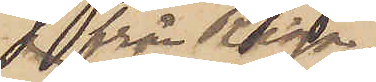 från Riga 
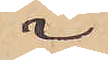i
